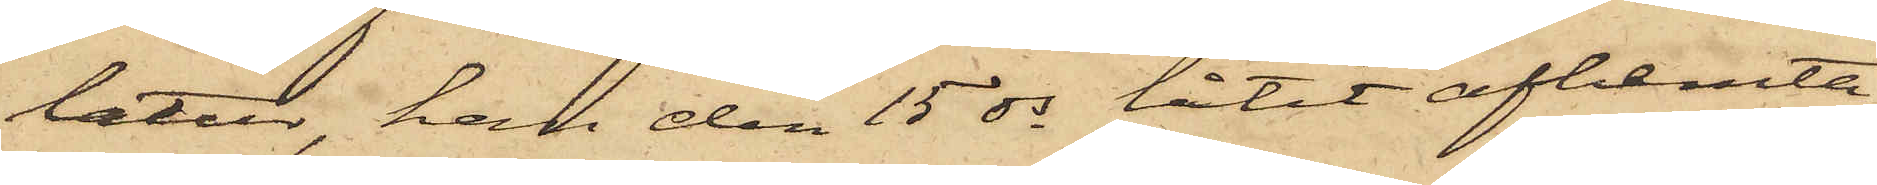latur, han den 15 ds låtit afhemta
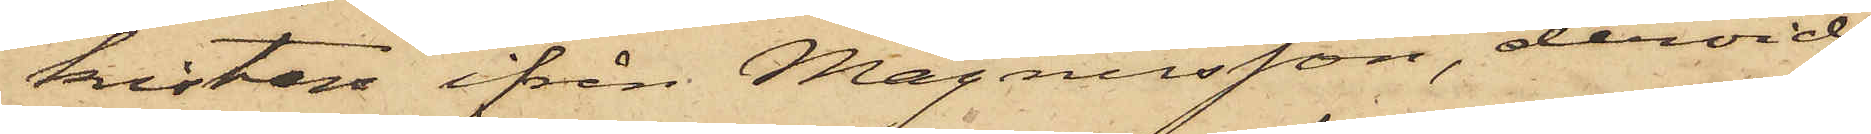kistan ifrån Magnusson, dervid
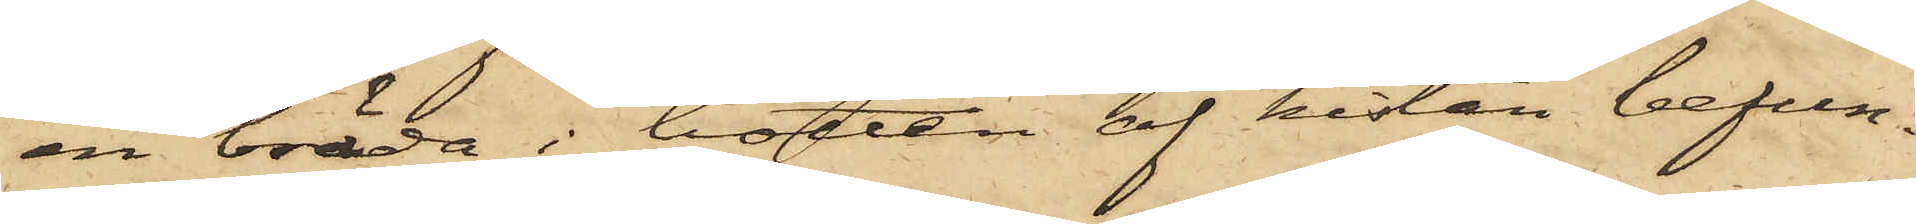en bräda i botten af kistan befun¬
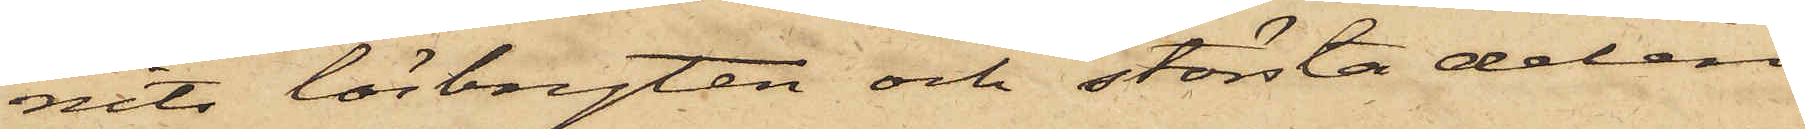nits lösbryten och största delen
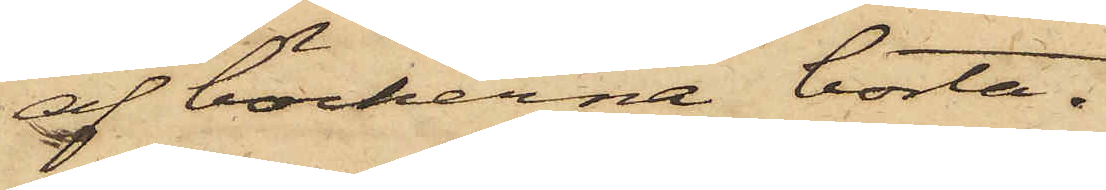af böckerna borta.
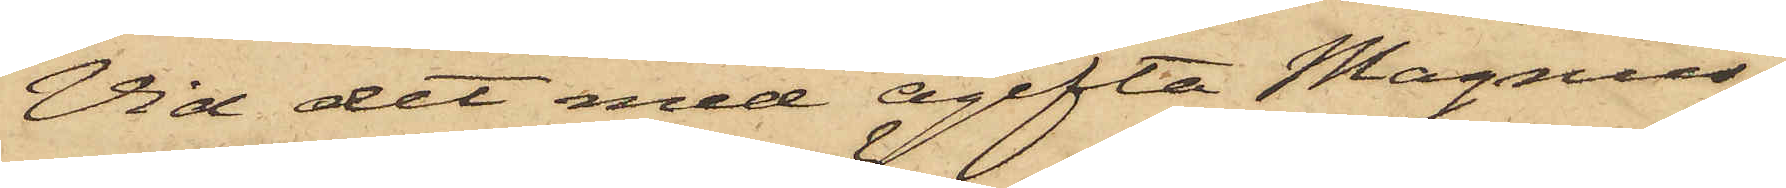Vid det med ogifta Magnus¬
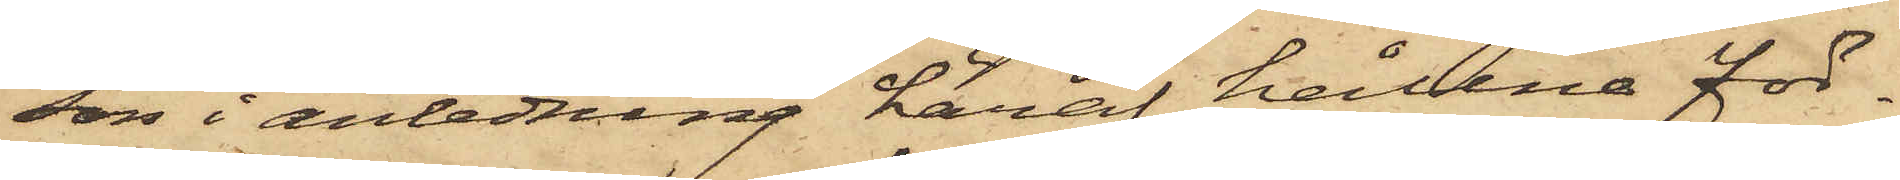son i anledning häraf hållna för¬
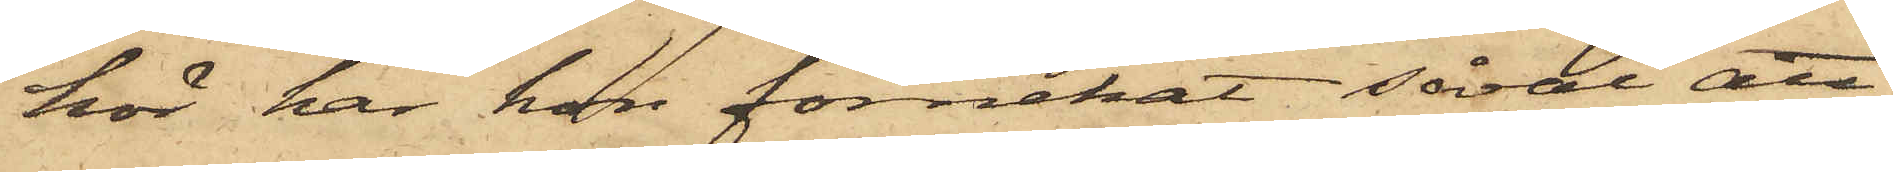hör har hon förnekat såväl att
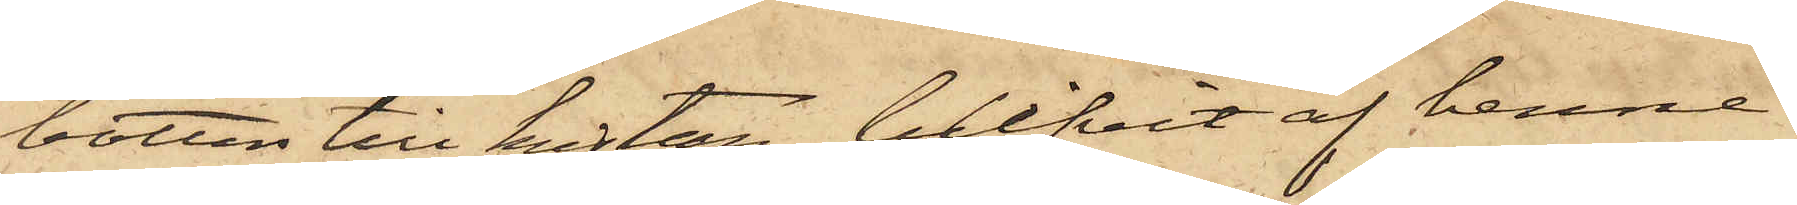botten till kistan blifvit af henne
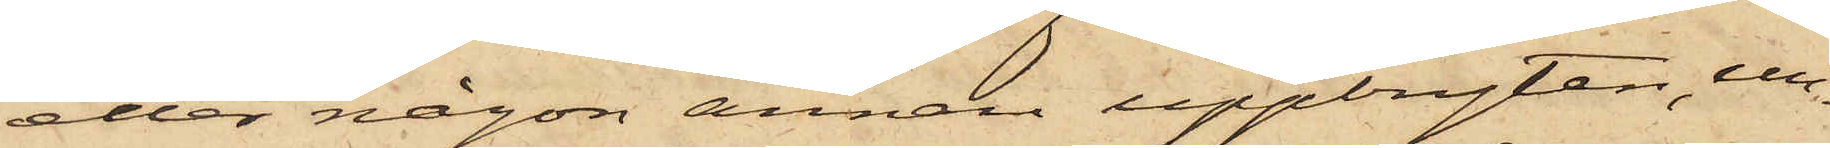eller någon annan uppbryten, un¬
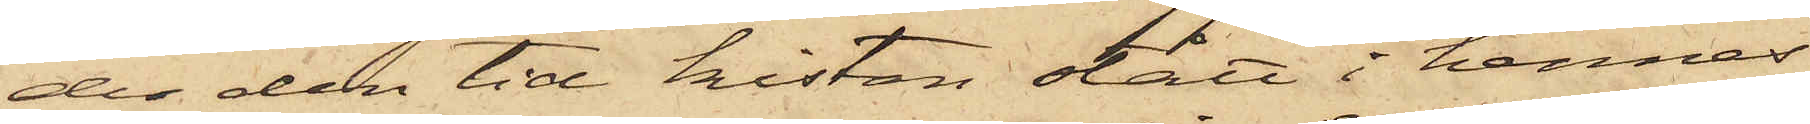der den tid kistan stått i hennes
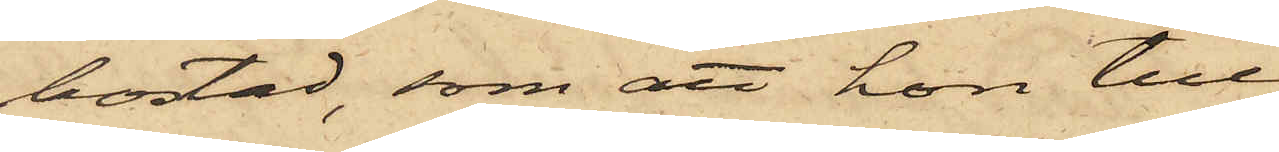bostad, som att hon till¬
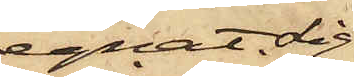egnat sig
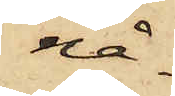nå¬
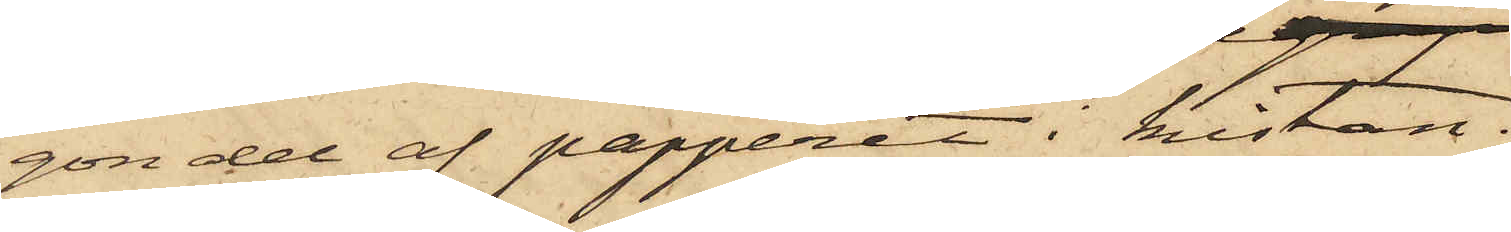gon del af papperet i kistan.
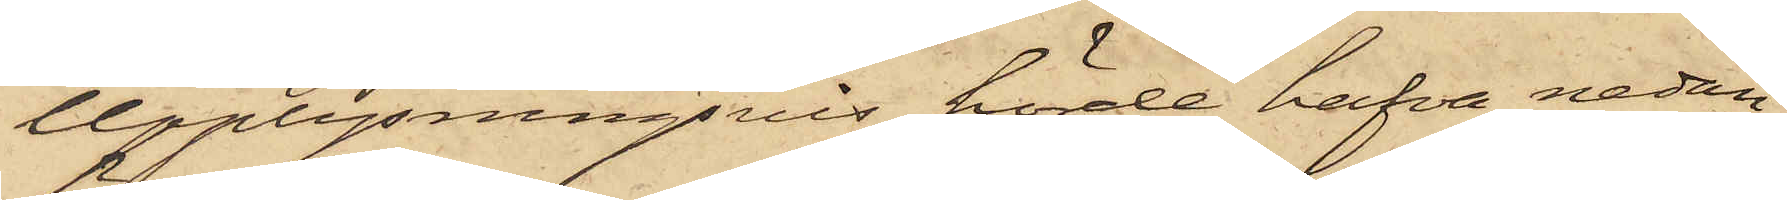Upplysningsvis hörde hafva nedan
